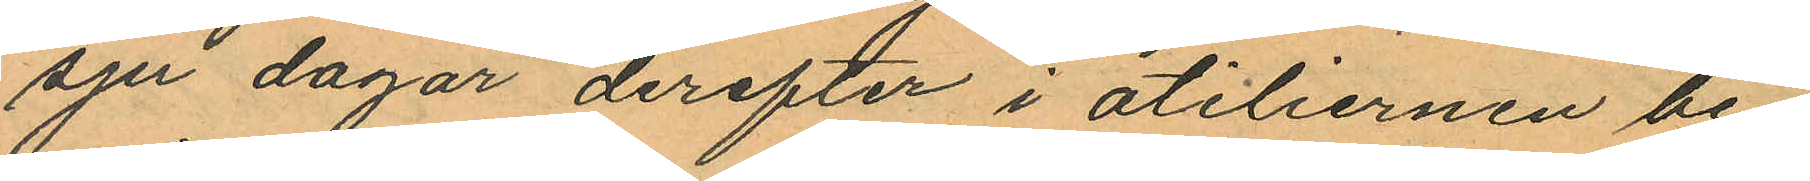sju dagar derefter i atiliernen be
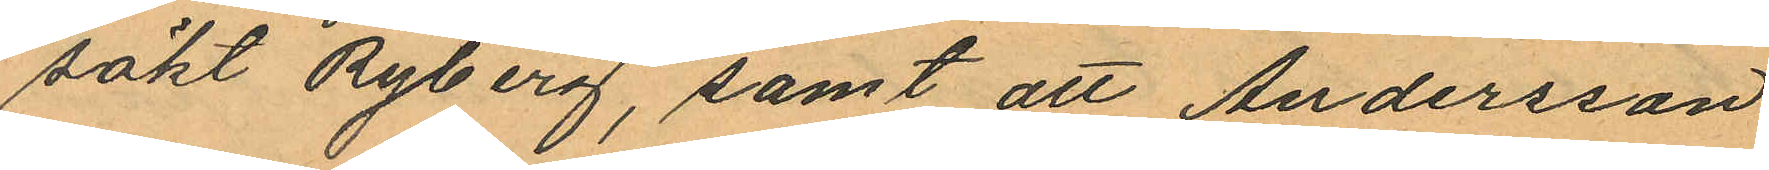sökt Ryberg, samt att Andersson
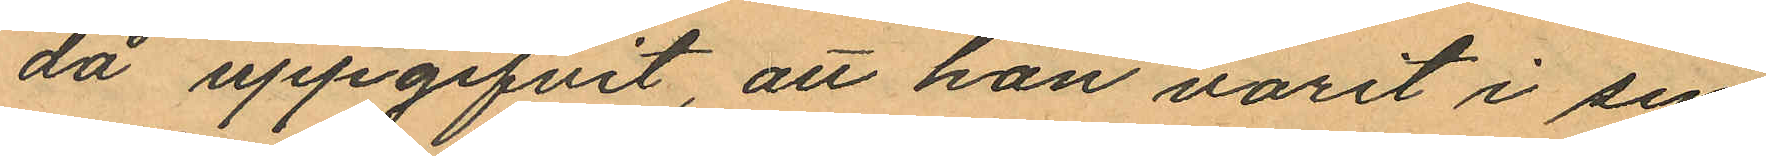då uppgifvit, att hon varit i sin
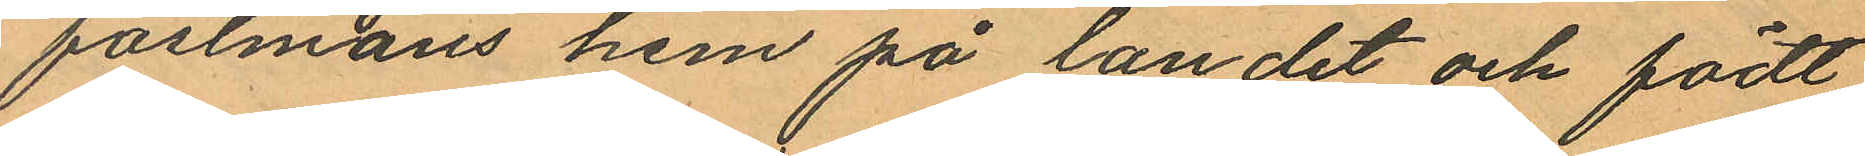fästmans hem på landet och födt
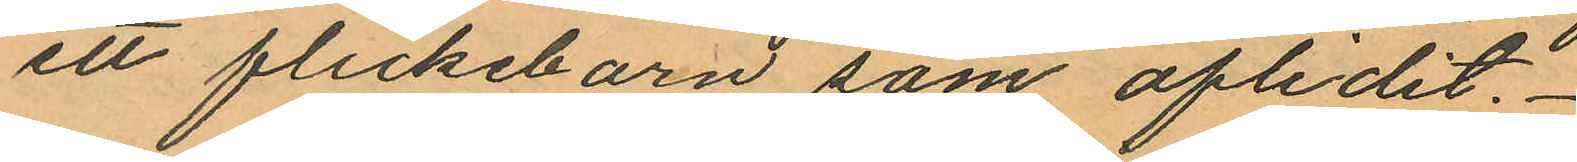ett flickebarn som aflidit.
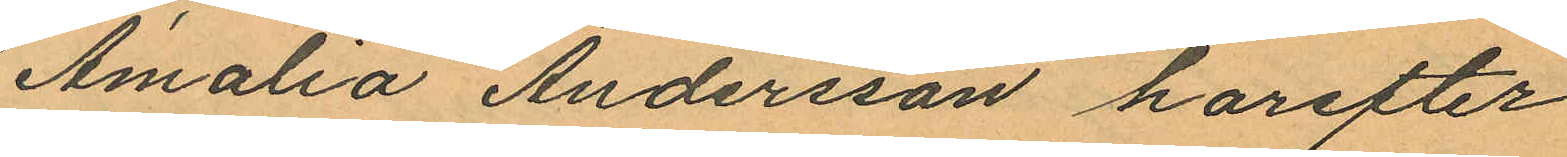Amalia Andersson harefter
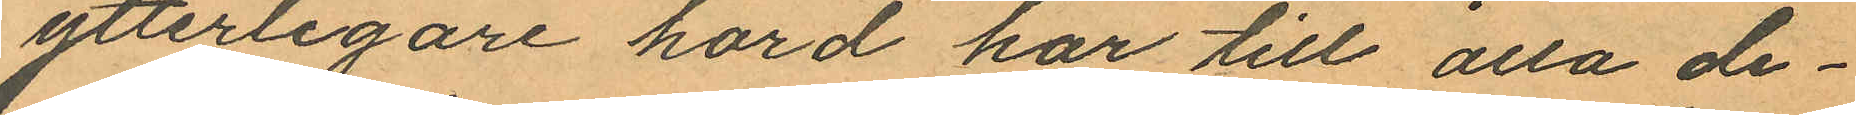ytterligare hörd har till alla de¬
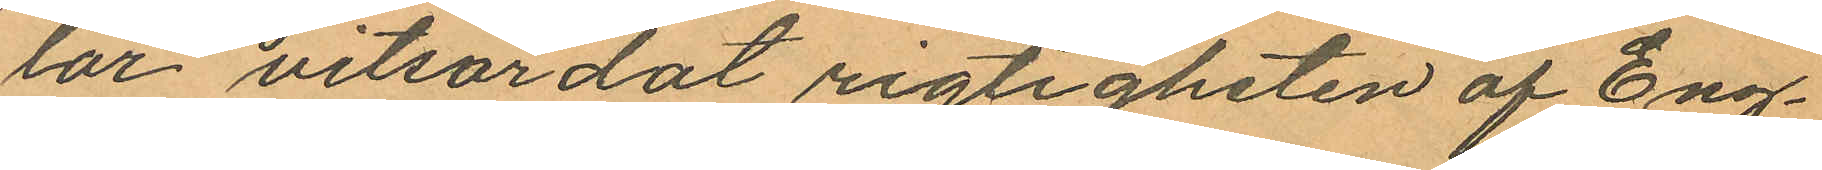lar vitsordat rigtigheten af Eng¬
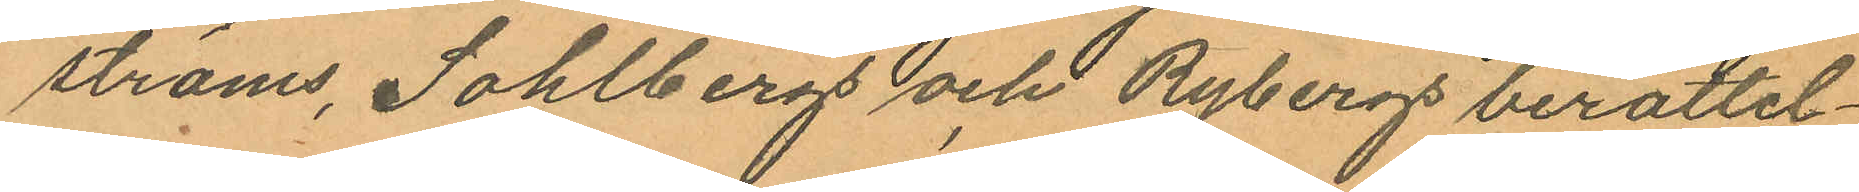ströms, Sohlbergs och Rybergs berättel¬
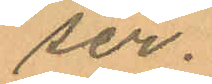ser.
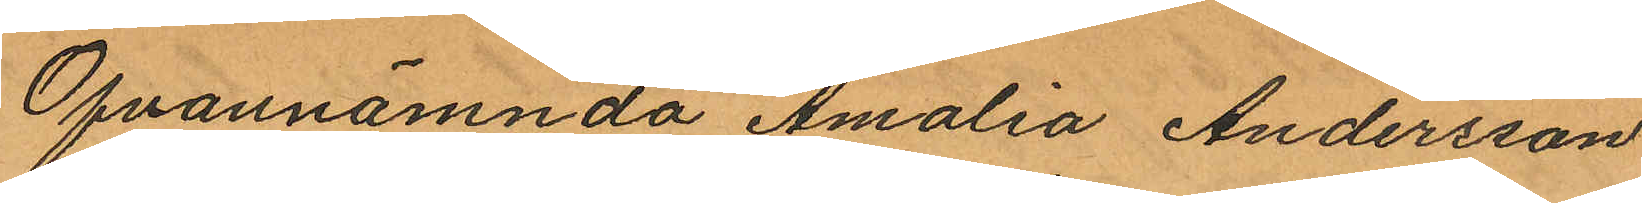Ofvannämnda Amalia Andersson
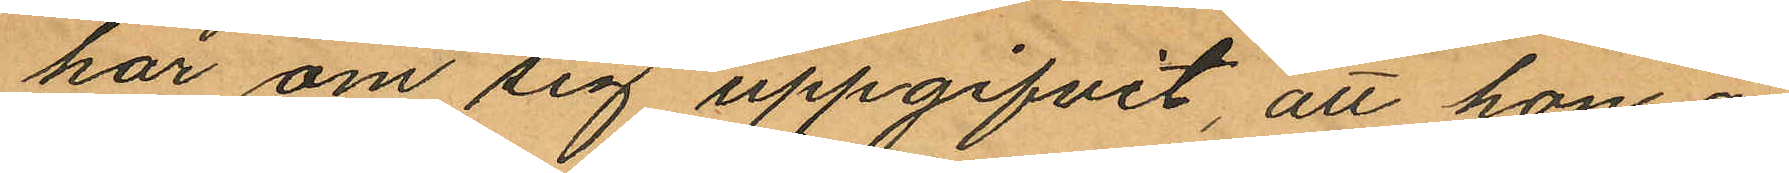har om sig uppgifvit att hon är
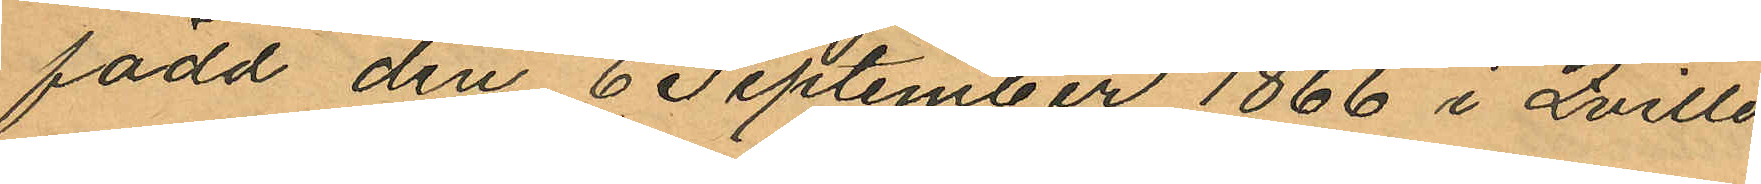född den 6 September 1866 i Qville
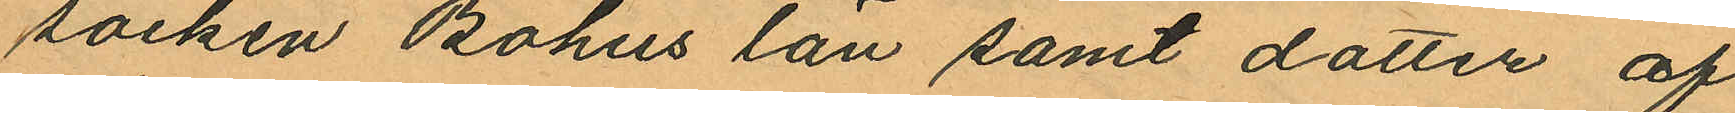socken Bohus län samt dotter af
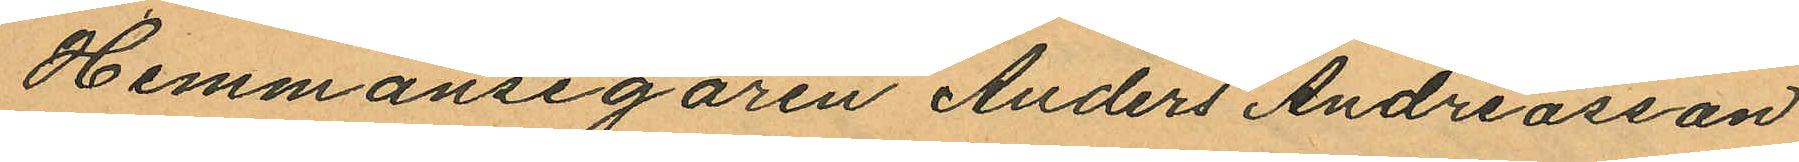Hemmansegaren Anders Andreasson
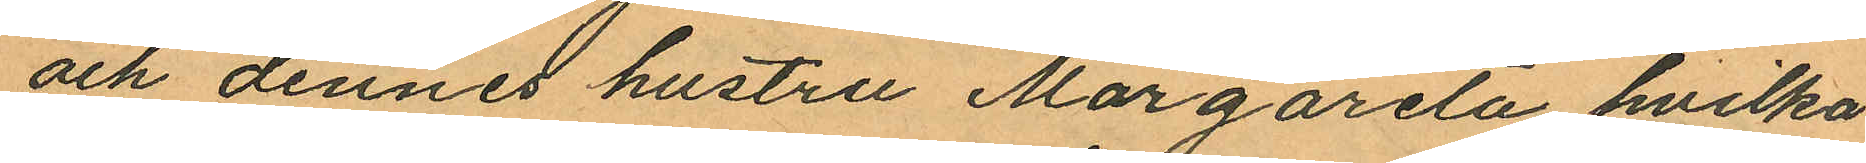och dennes hustru Margareta hvilka
